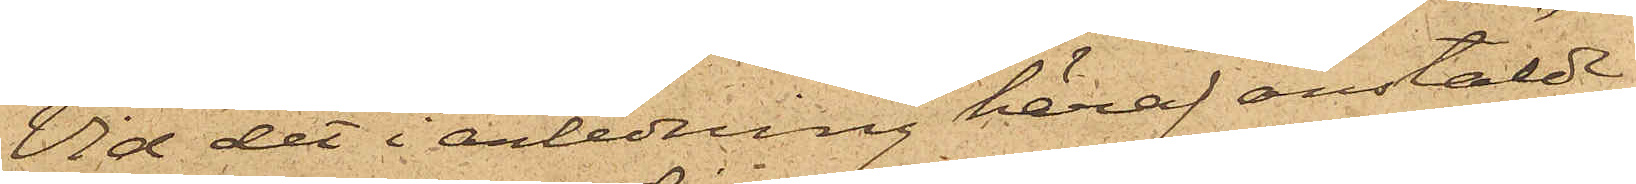Vid det i anledning häraf anstälde
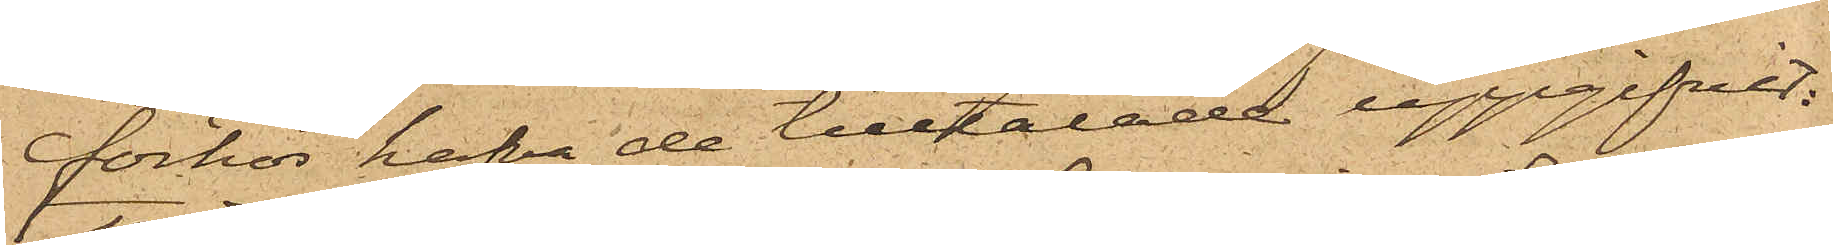förhör hafva de tilltalade uppgifvit:
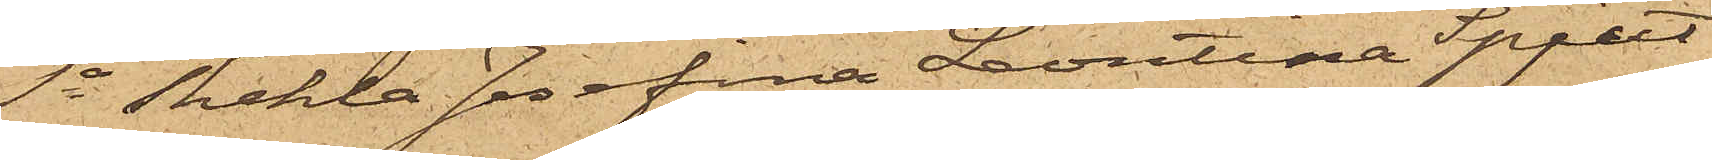1o Thekla Josefina Leontina Spjut
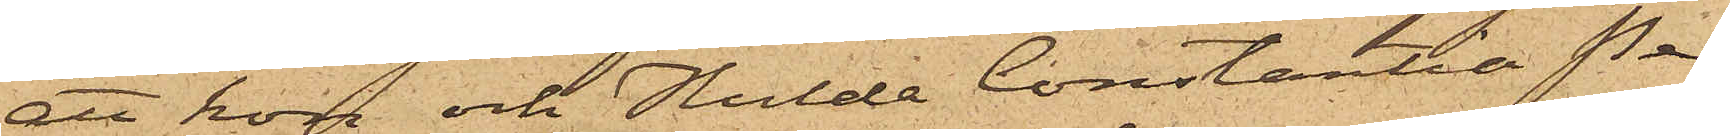att hon och Hulda Constantia Pe¬
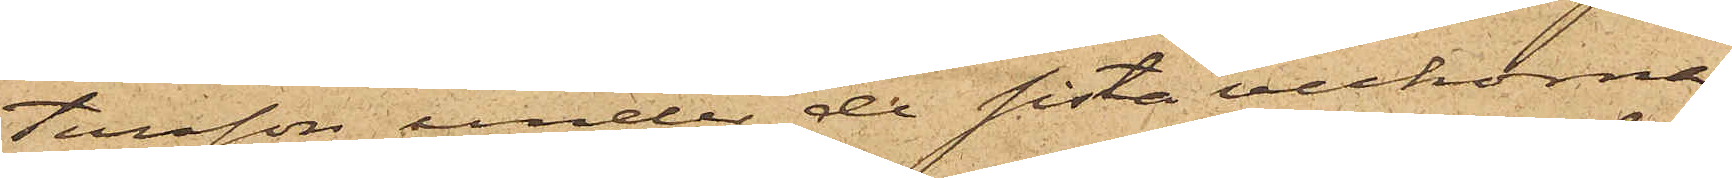tersson under de sista veckorna
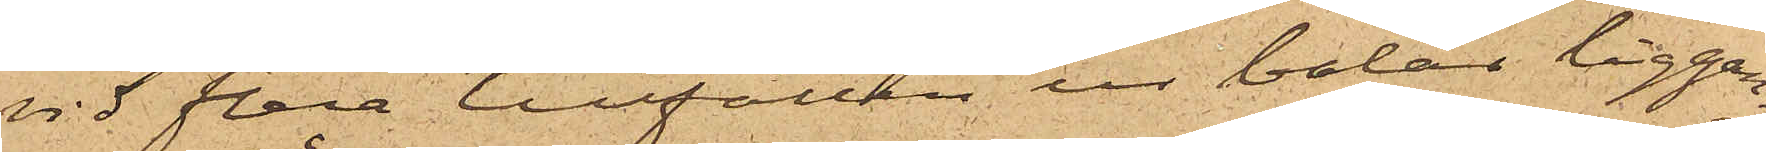vid flera tillfällen ur balar liggan¬
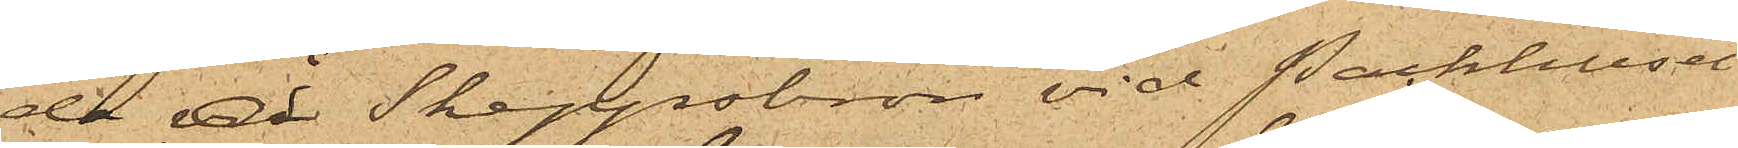de å Skeppsbron vid Packhuset
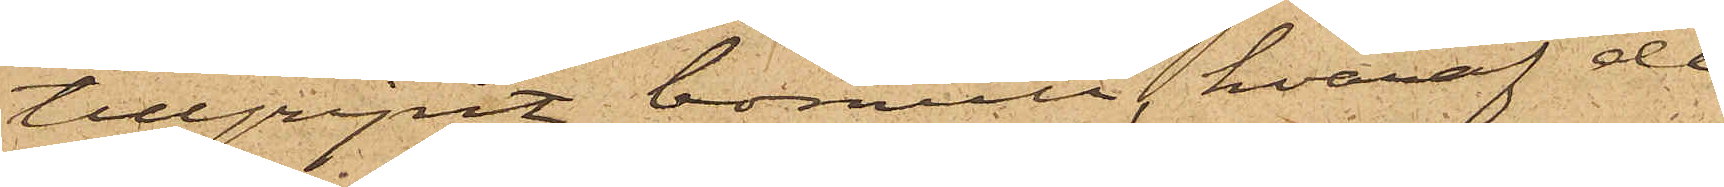tillgripit bomull, hvaraf de
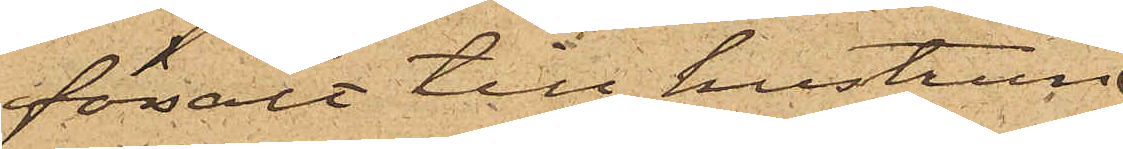försålt till hustrun
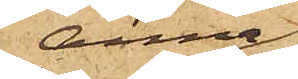Anna
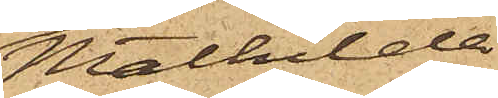Mathilda
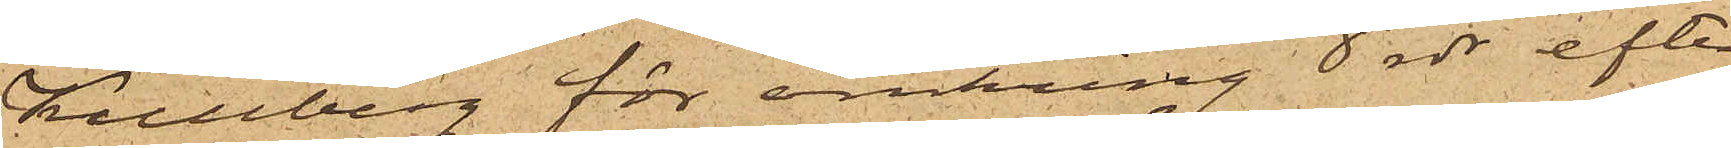Kullberg för omkring 8 rdr, efter
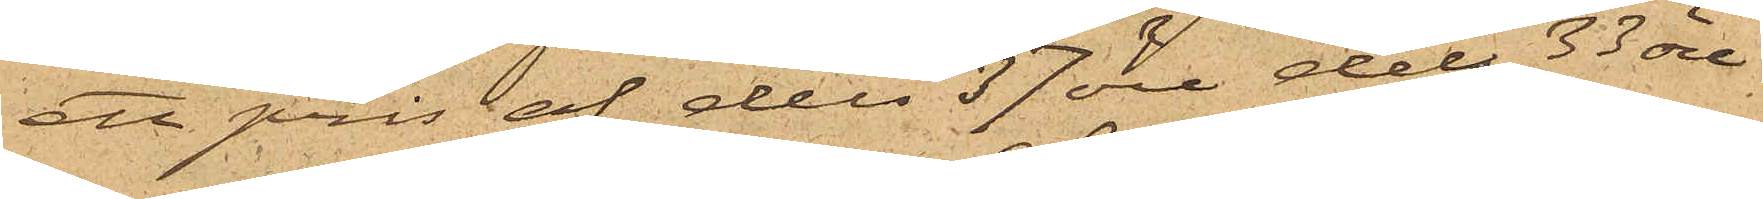ett pris af dels 37 öre dels 33 öre
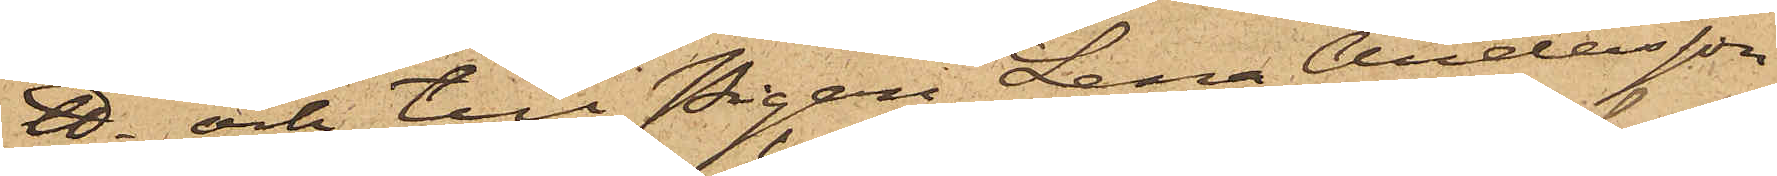℔. och till Pigan Lena Andersson
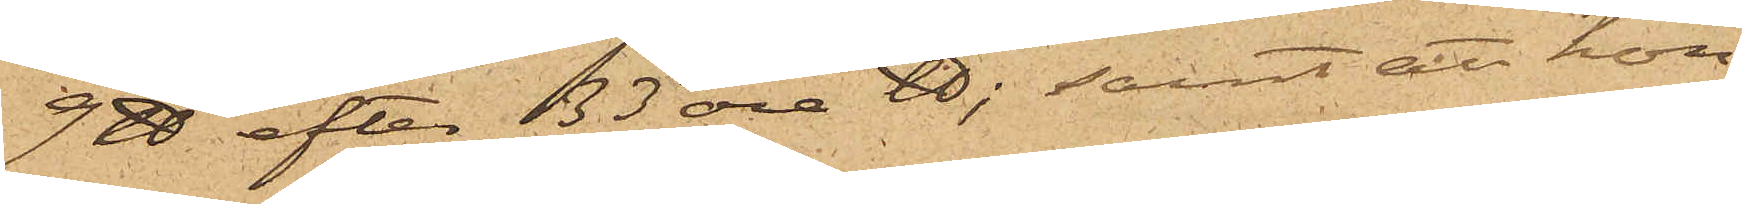9 ℔ efter 133 öre ℔; samt att hon
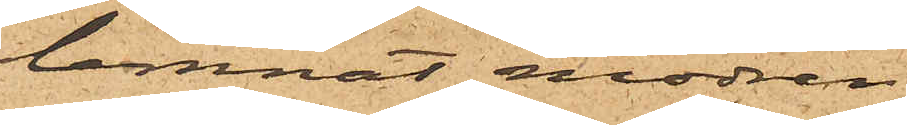lemnat modren
